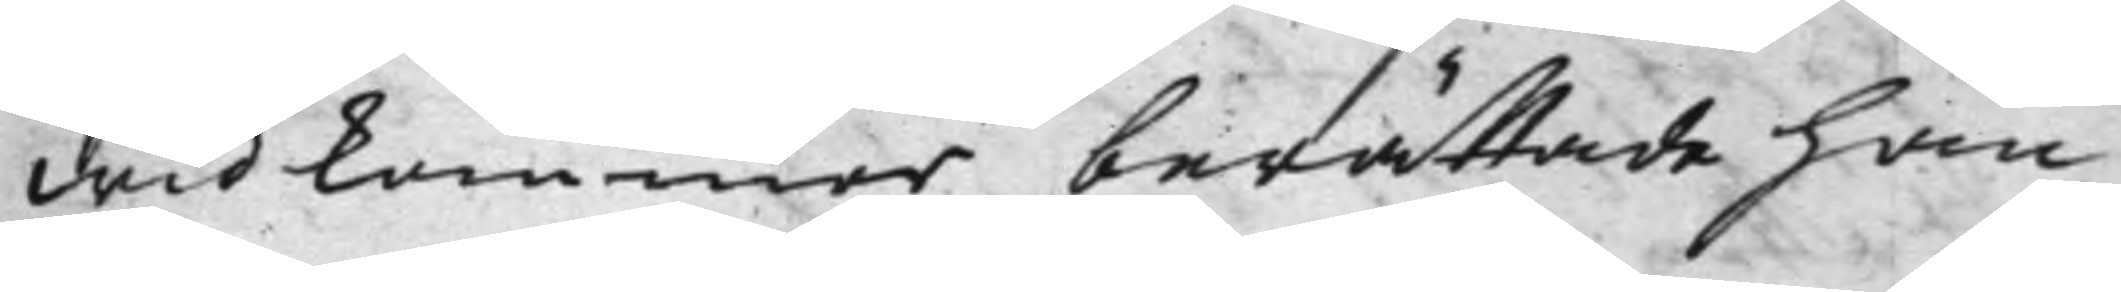widkommer, berättade han,
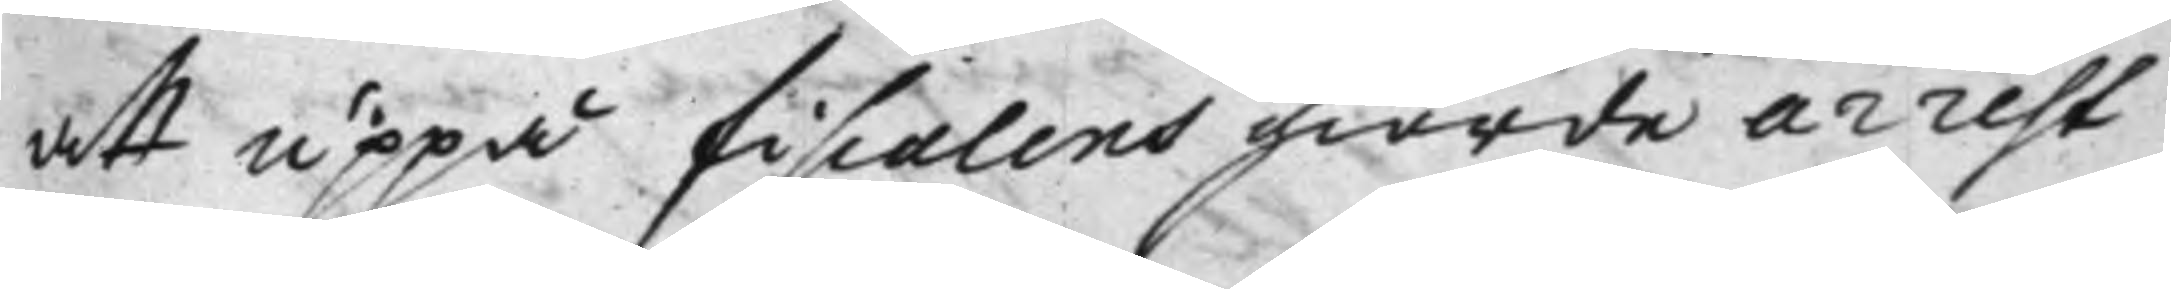att uppå fiscalens giorde arrest
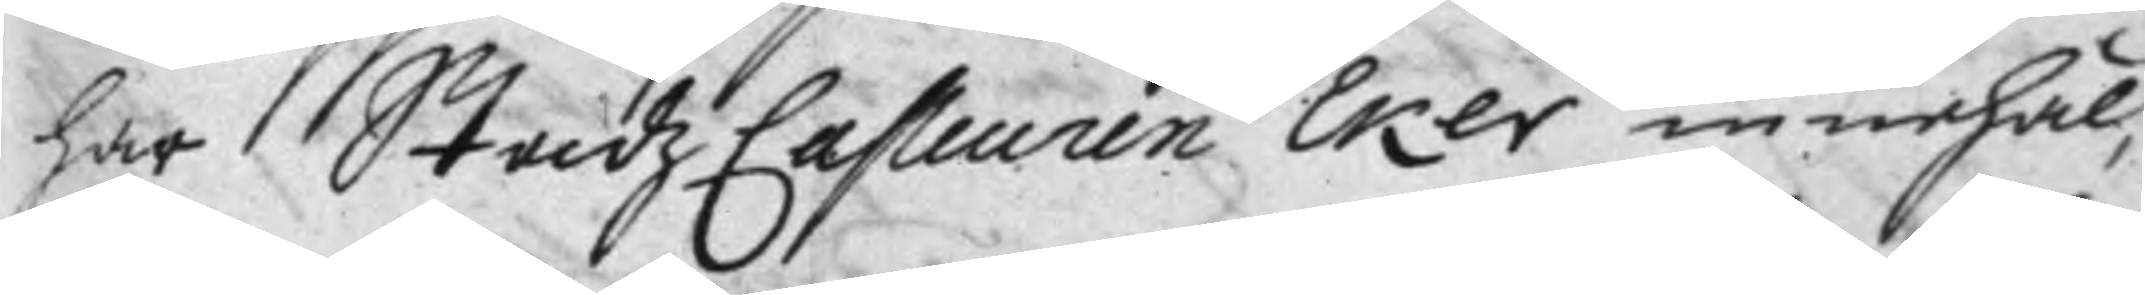har StadzCasseuren Eker innehål¬
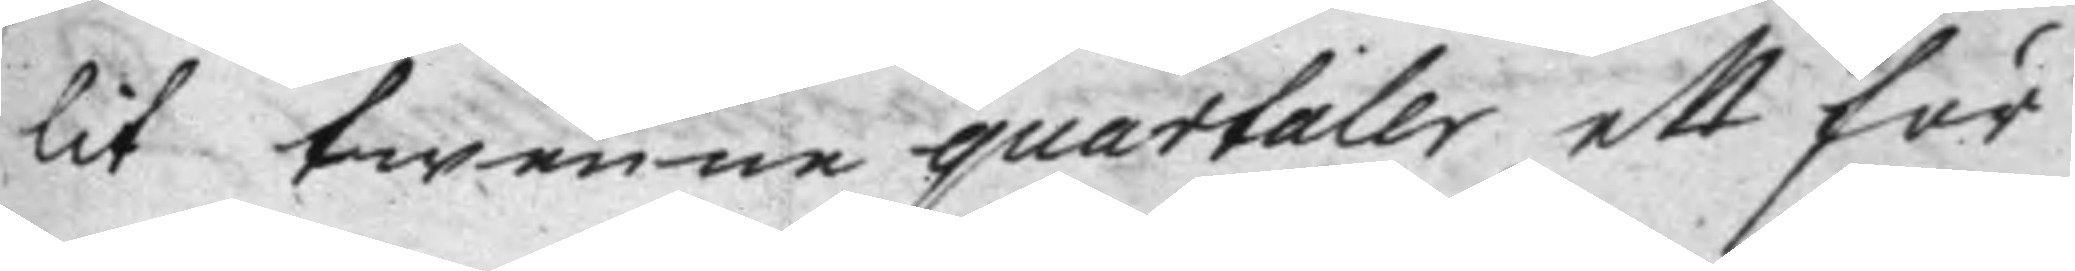lit twenne quartaler ett för
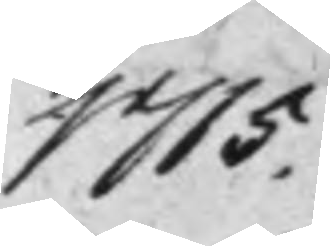1715.
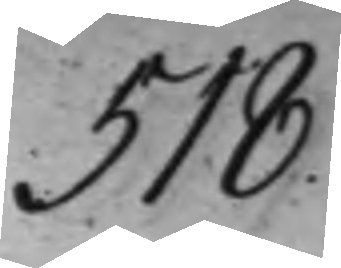518.
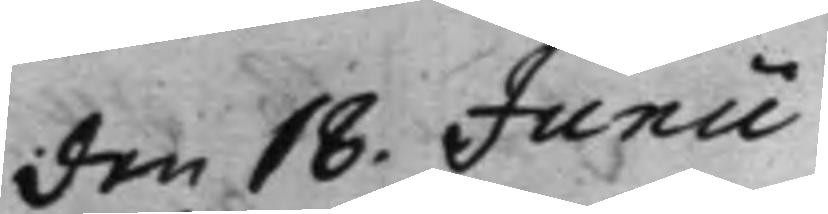den 18. Junii
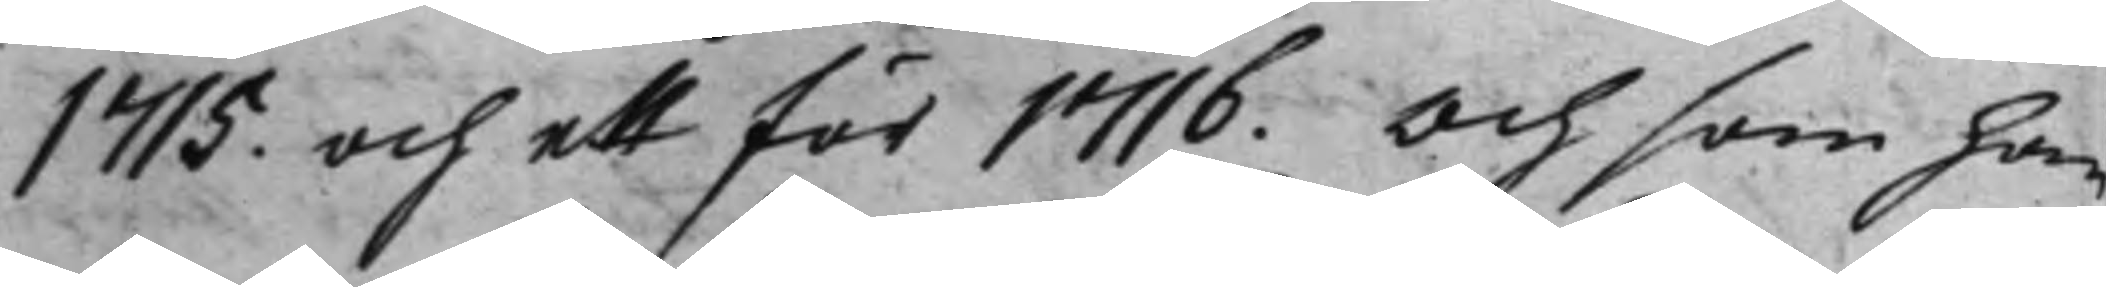1715. och ett för 1716. Och som han
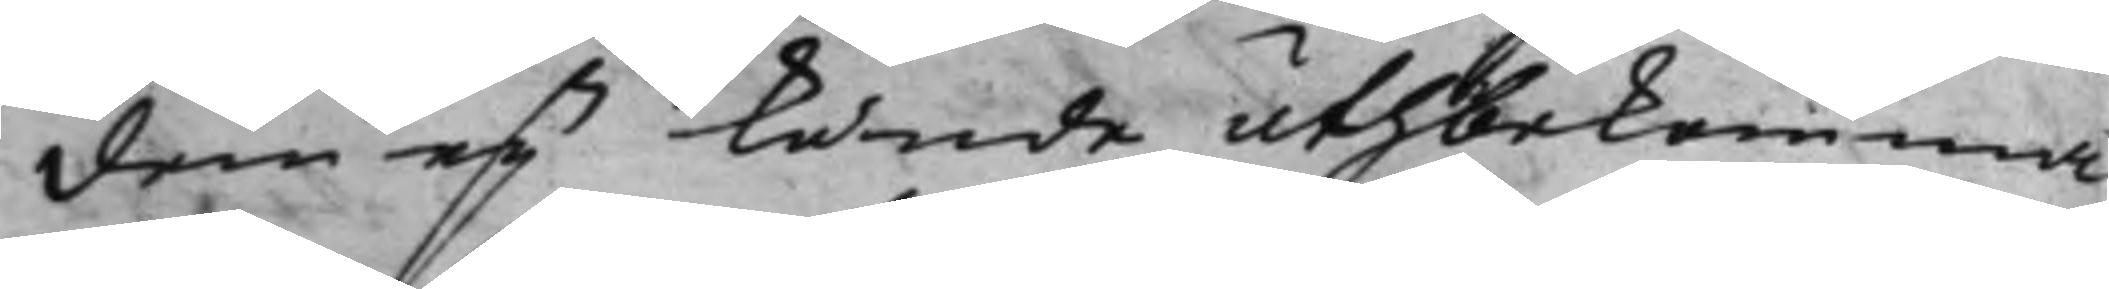dem ey kunde uthbekomma,
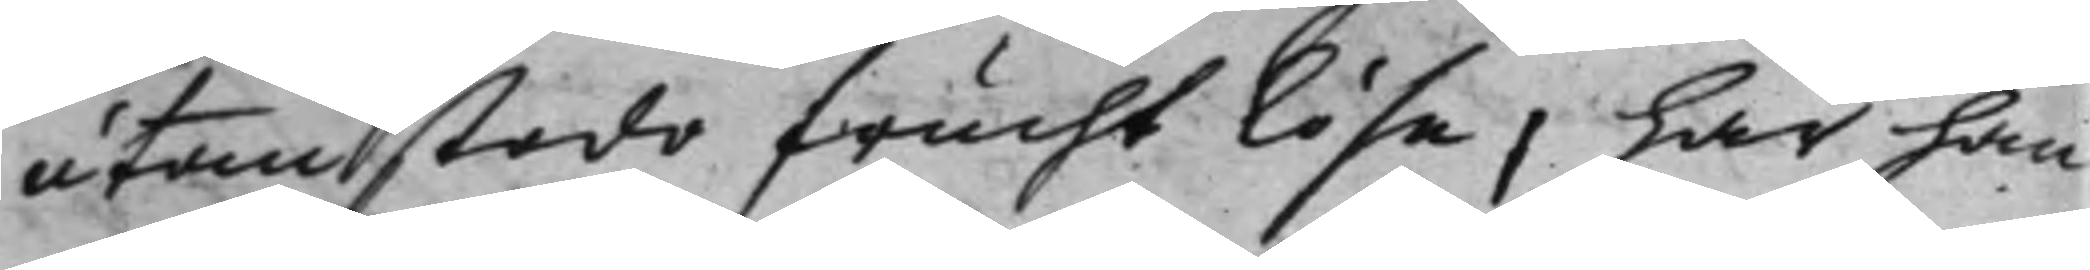utan stodo frucht lösa, har han
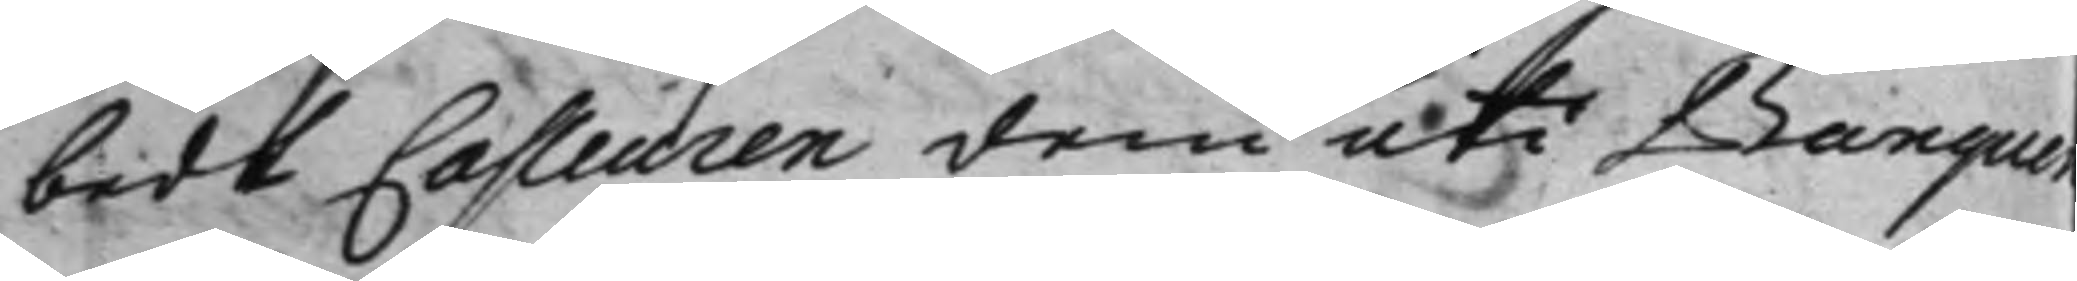bedt Casseuren dem uti Banquen
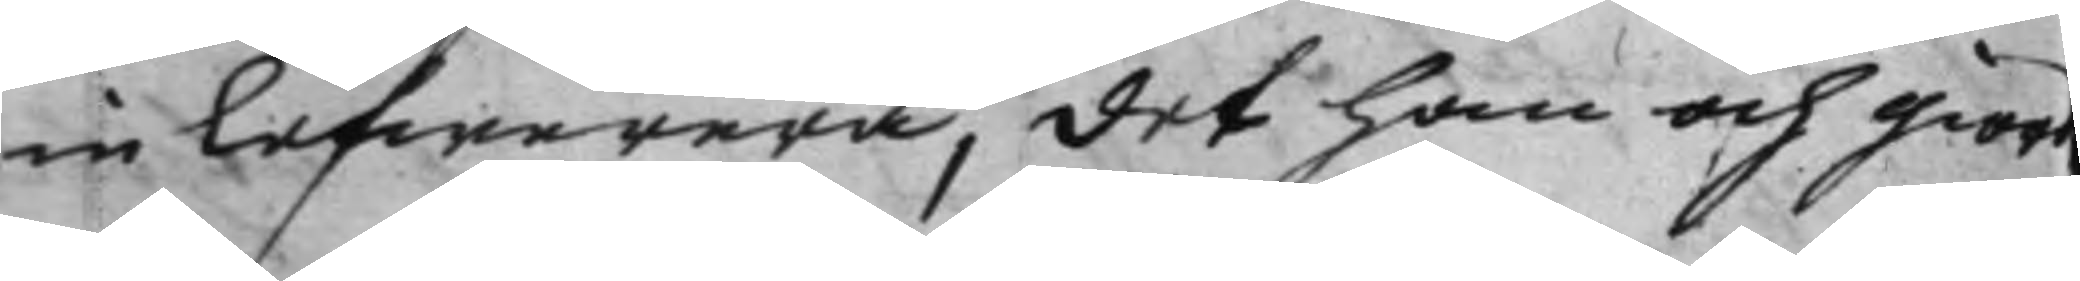inlefwerera, det han och giord
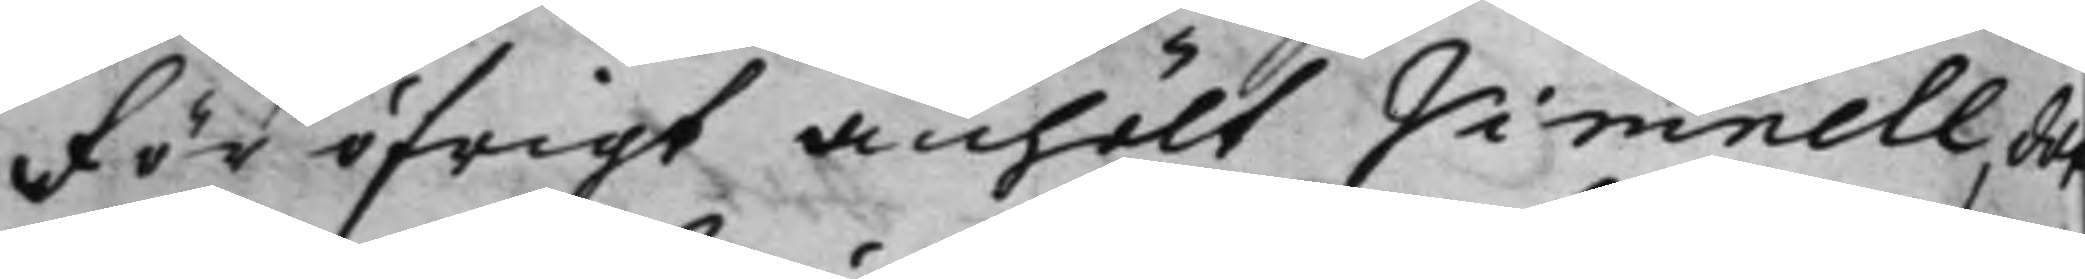för öfrigt anhölt Vimnell, det
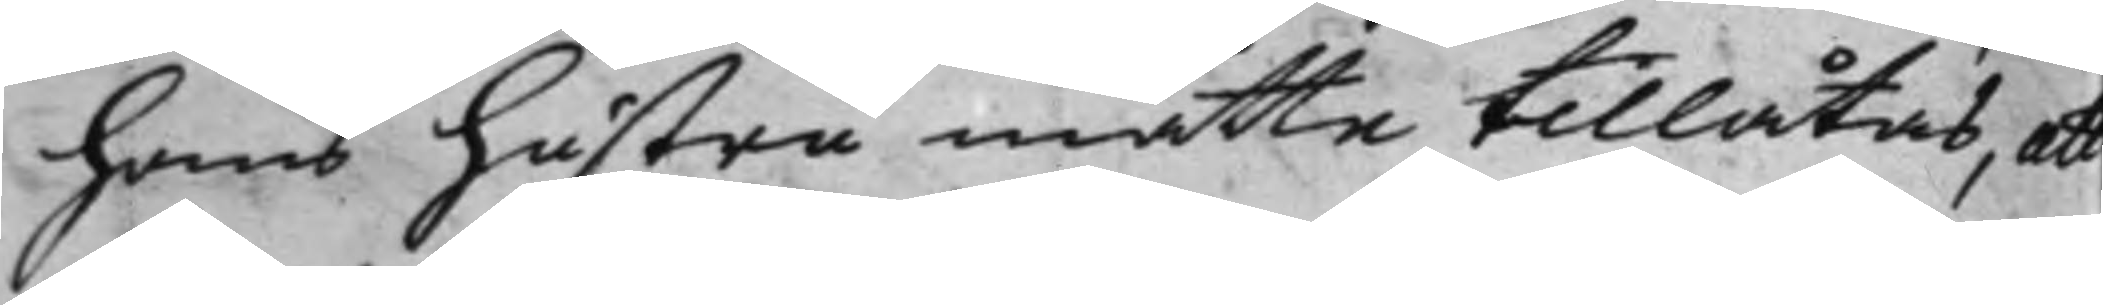hans hustru måtte tillåtas, att
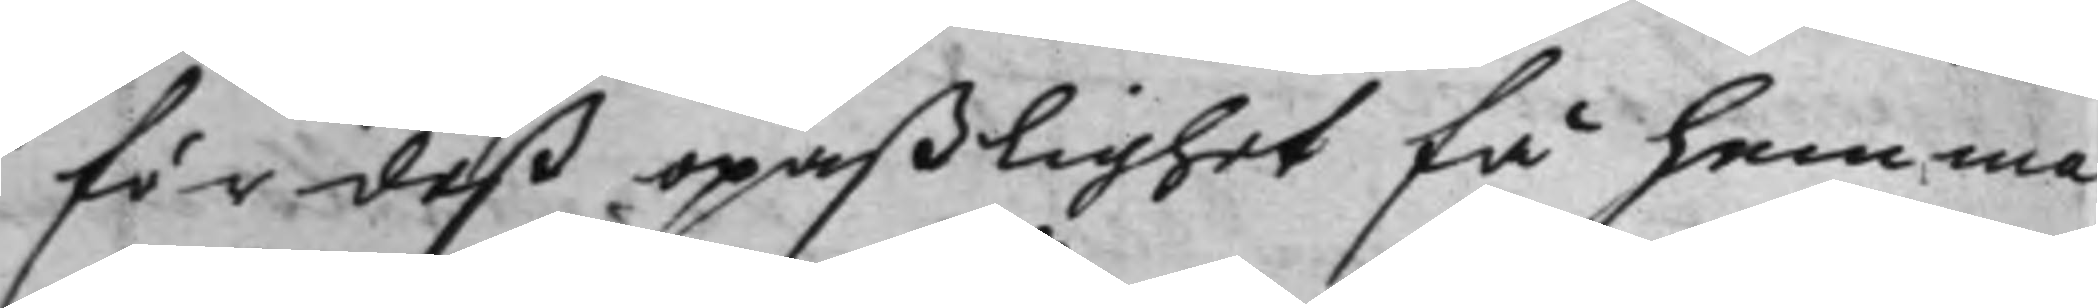för deß opaßlighet få hemma
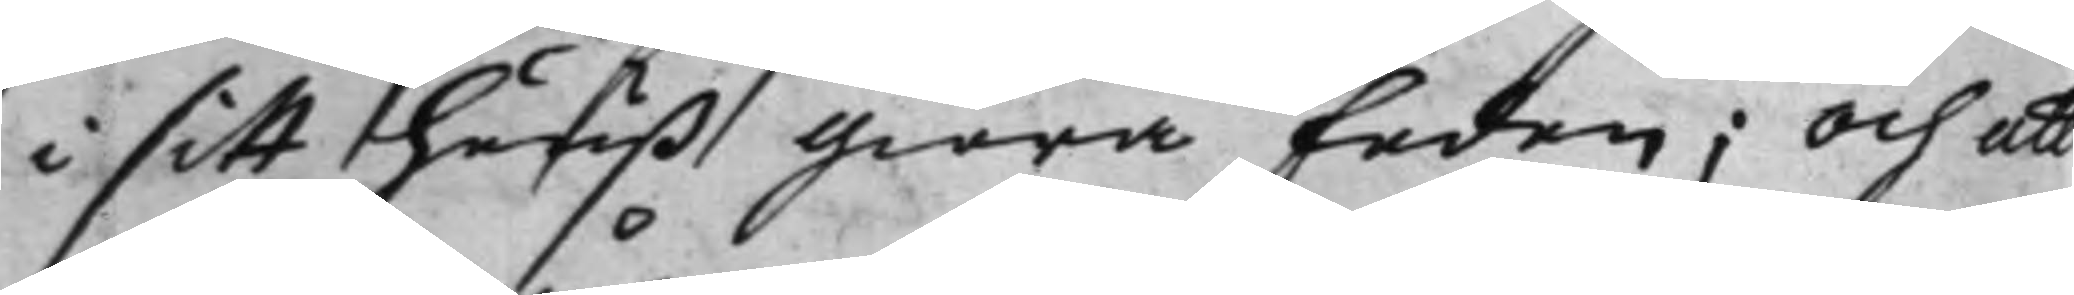i sitt huuß giöra Eeden; och att
